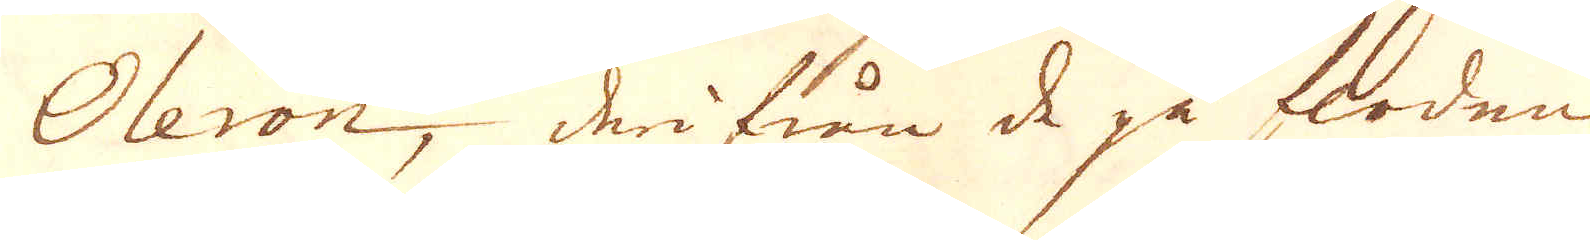Oleron, derifrån de på floden
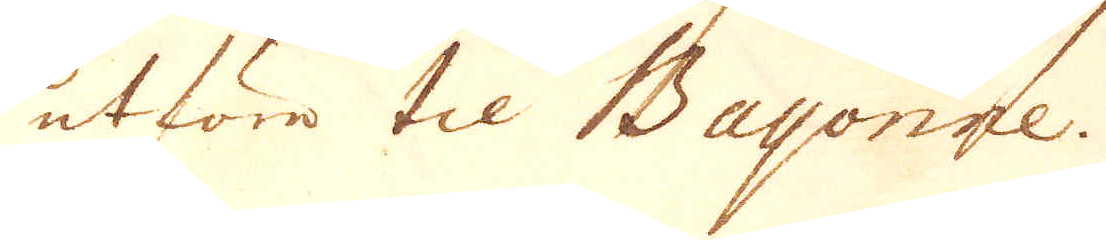utföre til Bayonne.
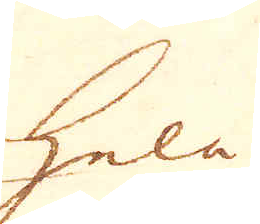hela
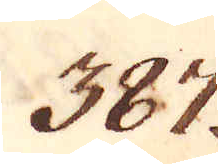387.
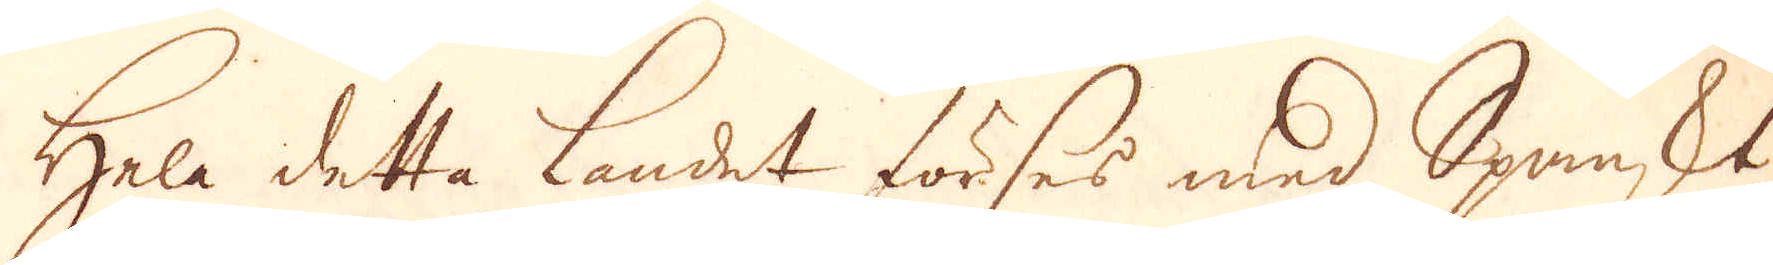Hela detta landet förses med Spanskt
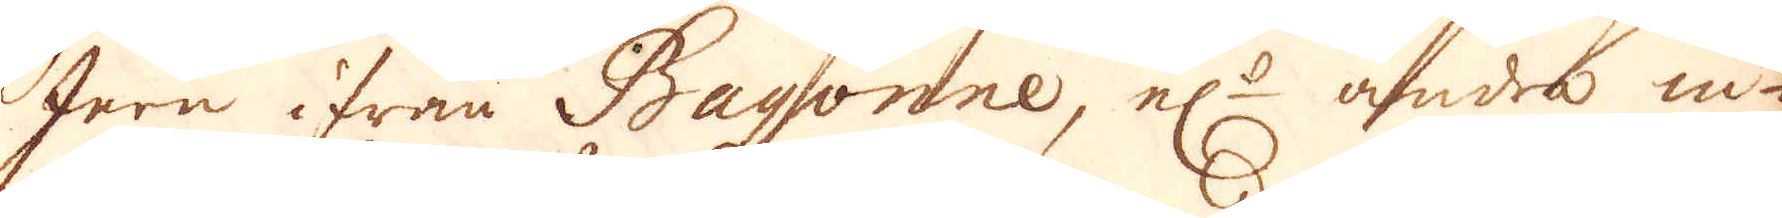Jern ifrån Bayonne, el:r andra in-
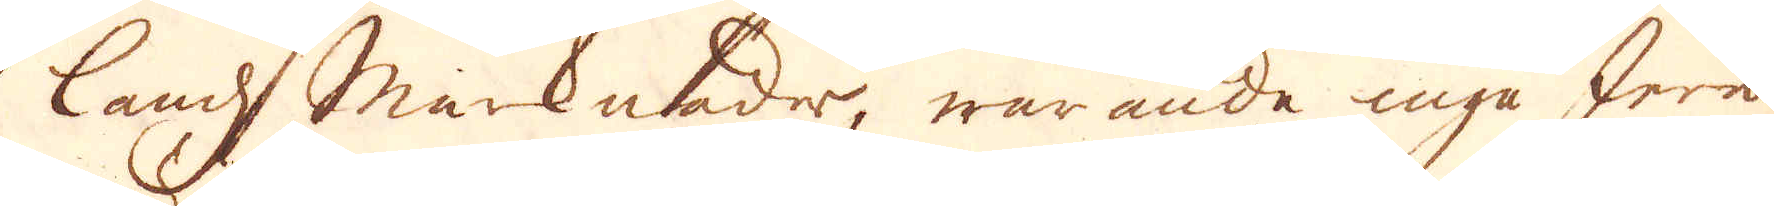lands marknader, warande inga Jern-
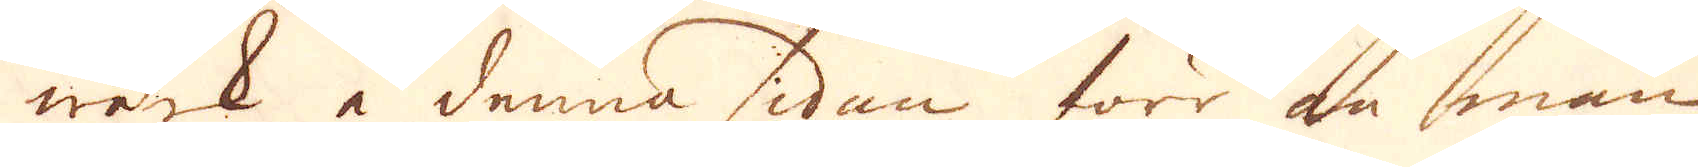wärk å denna sidan förr än man
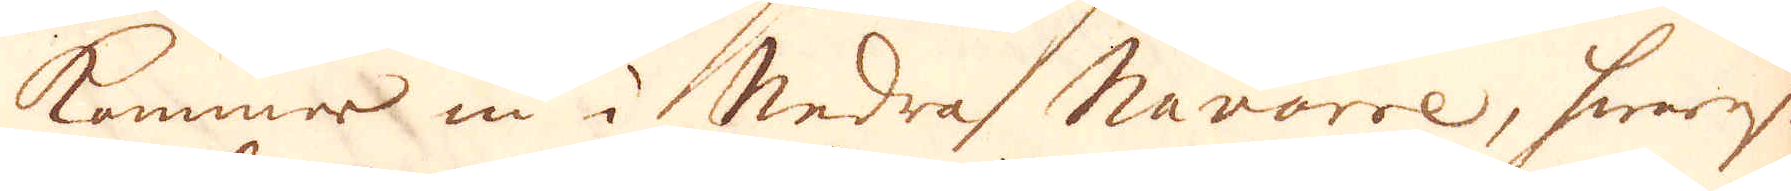kommer in i Nedra Navarre, hwarest
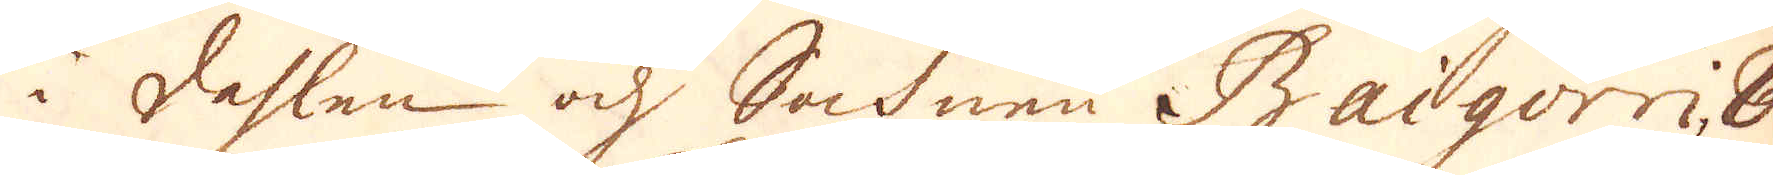i dahlen och Sochnen Baigorri, 8
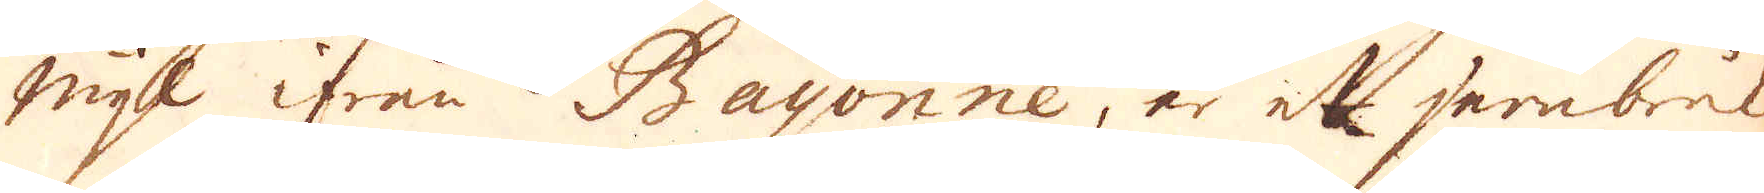mijl ifrån Bayonne, är et jernbruk
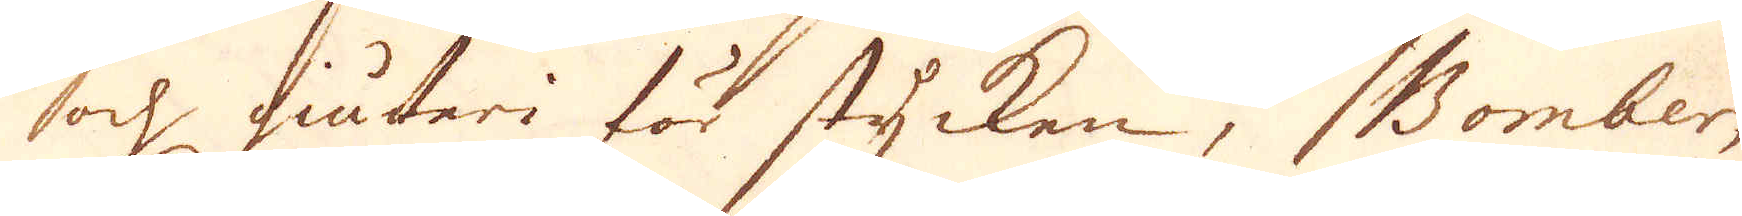och giuteri för stycken, Bomber,
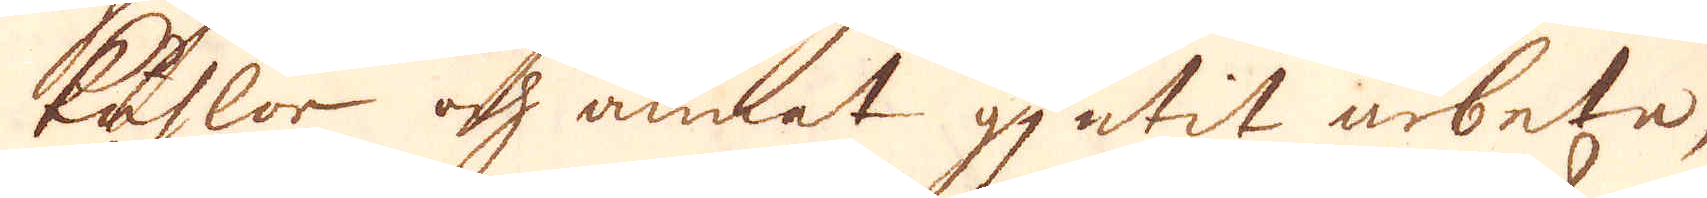kuhlor och annat gjutit arbete,
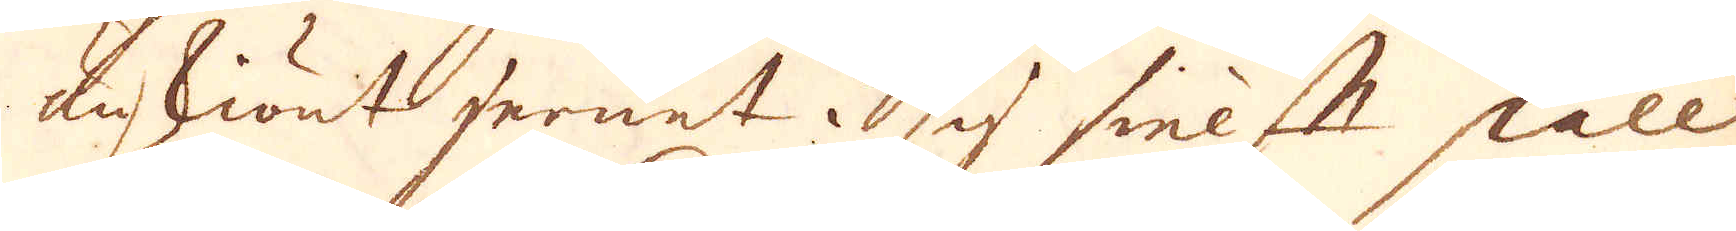änskiönt jernet i sig sielft skall
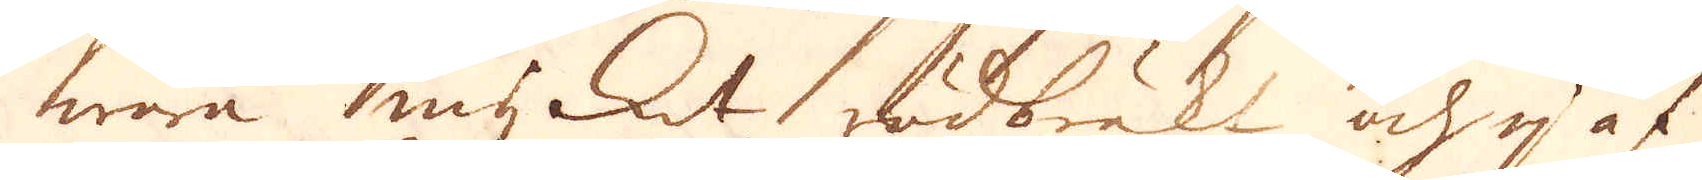wara mycket rödbräkt och ej af
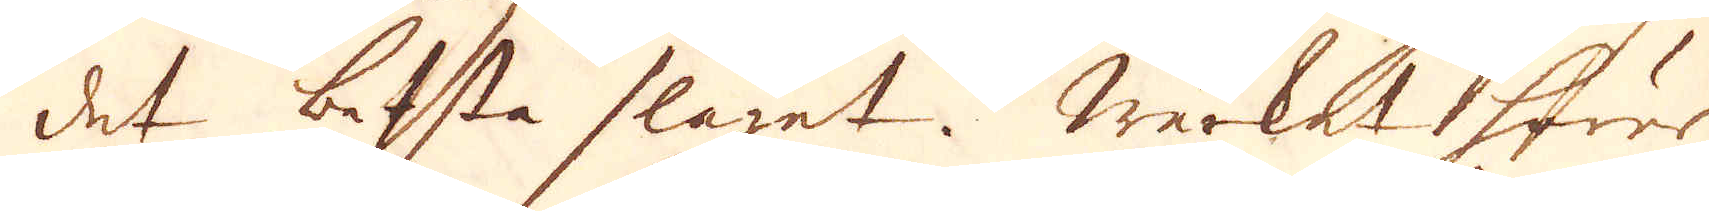det besta slaget. Wärket hörer
